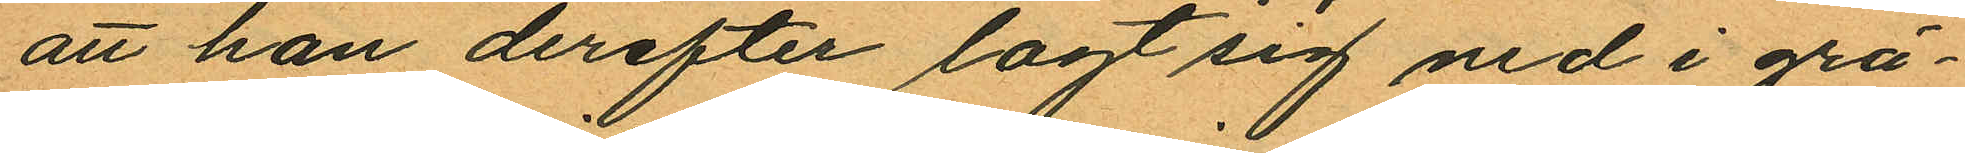att han derefter lagt sig ned i grä¬
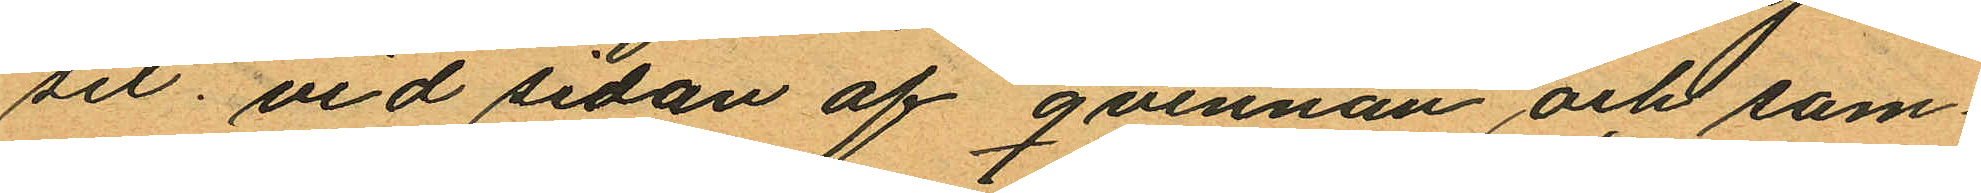set vid sedan af qvinnan och sam¬
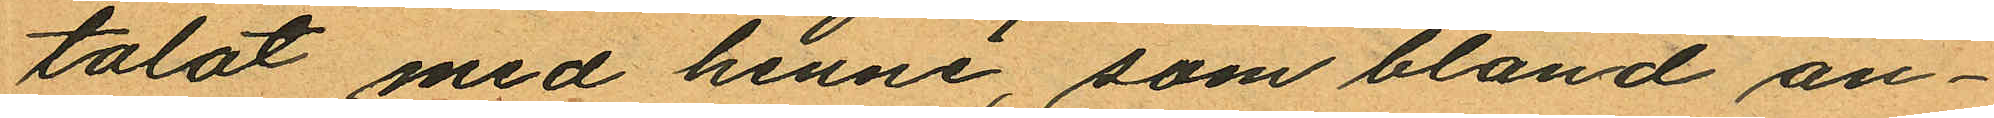talat med henne, som bland an¬
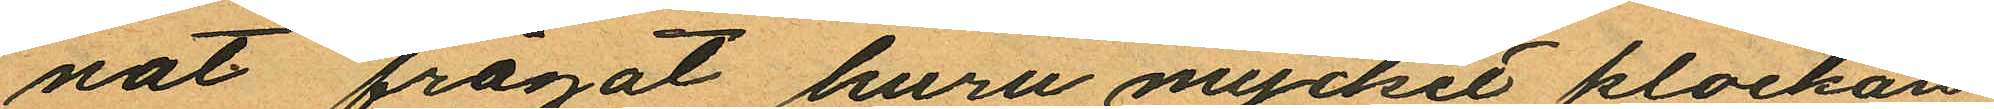nat frågat huru mycket klockan
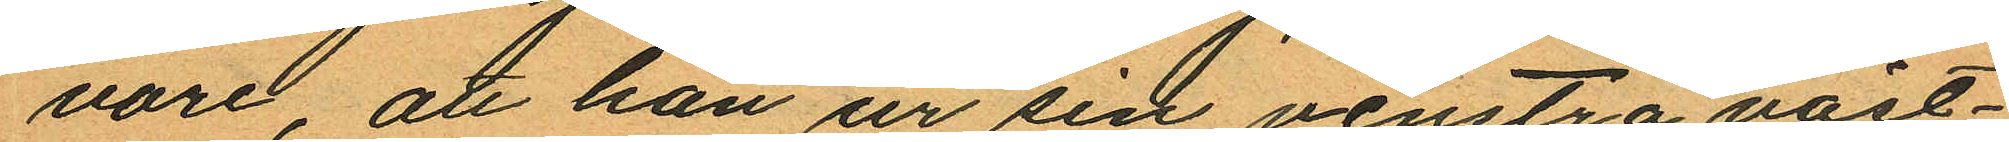vore, att han ur sin venstra väst¬
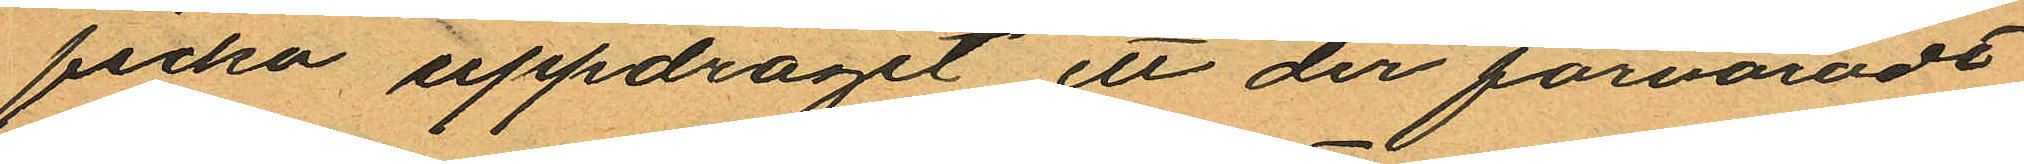ficka uppdragit ett der förvaradt
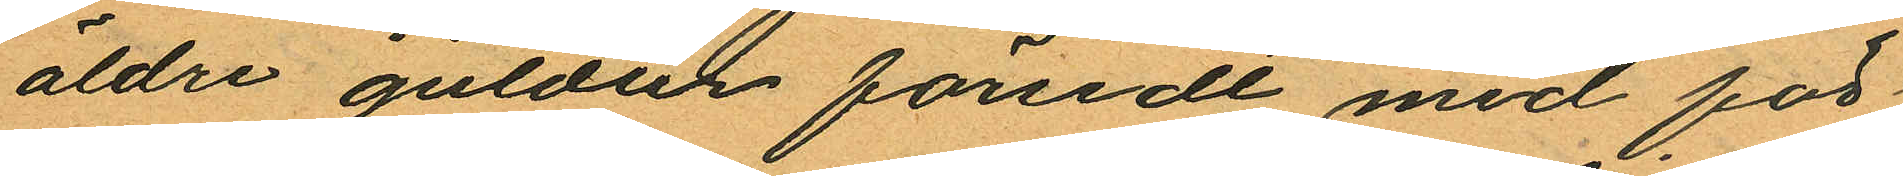äldre guldur försedt med för
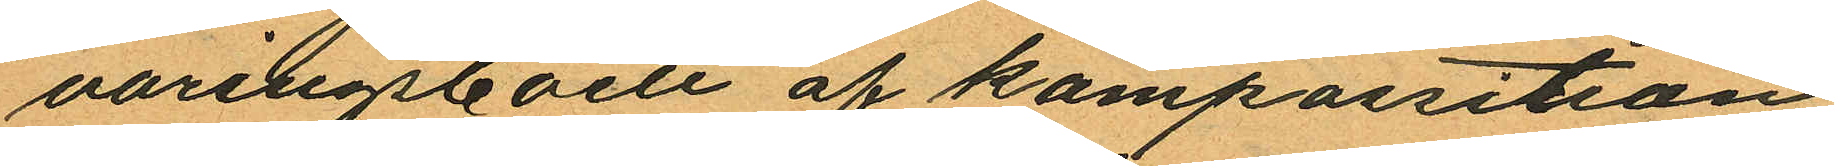varingsboett af kompassition
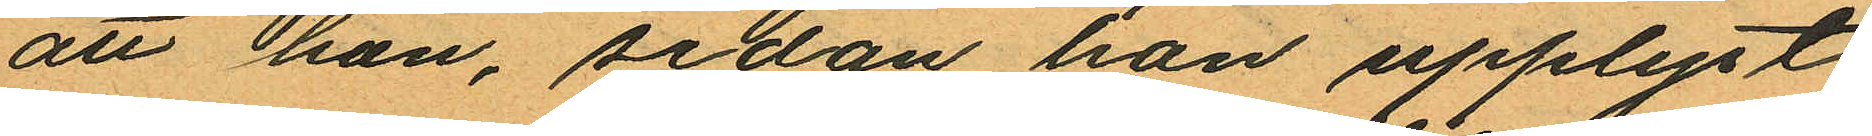att han, sedan han upplyst
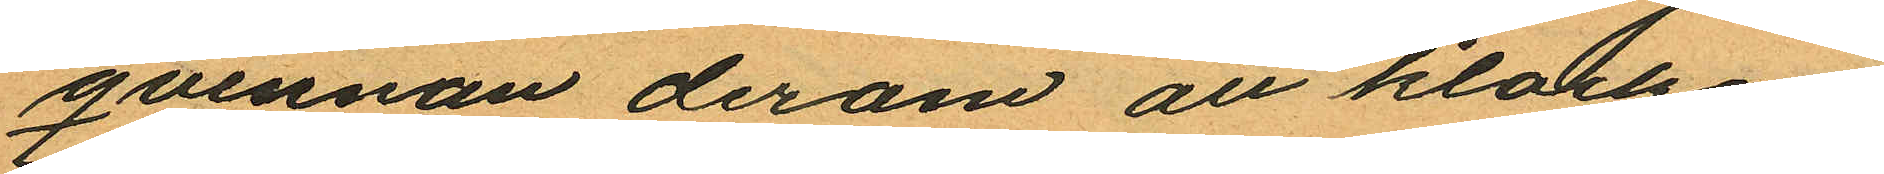qvinnan derom att klockan
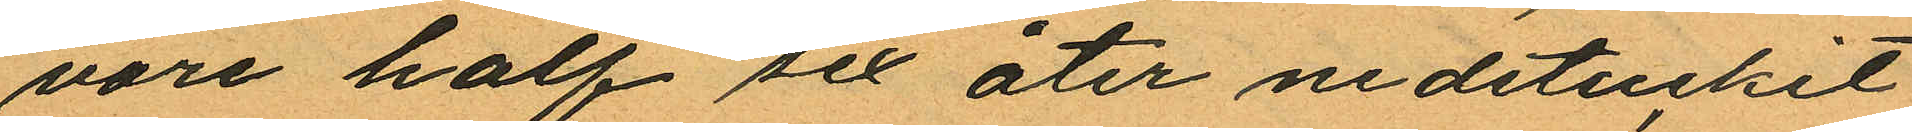vore half sex åter nedstuckit
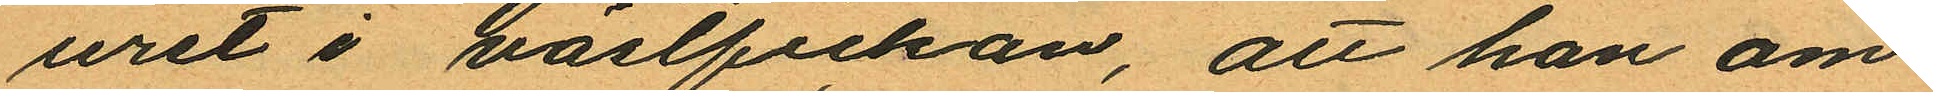uret i västfickan, att han om
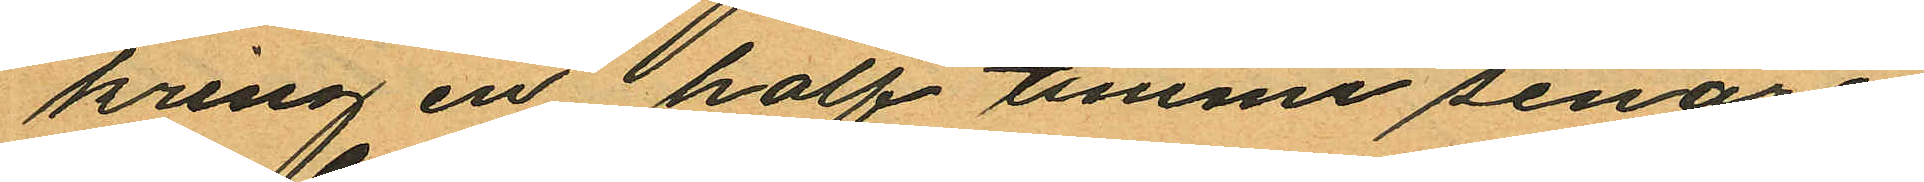kring en half timme senare
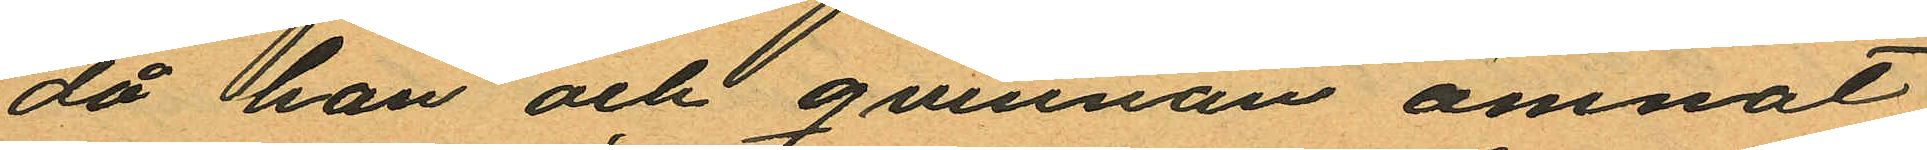då han och quinnan ämnat
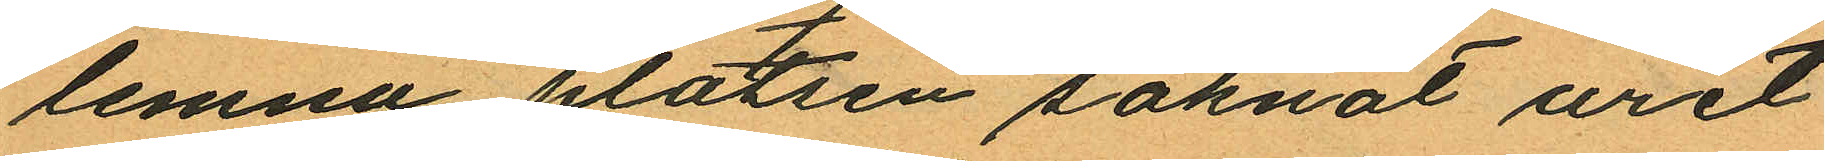lemna platsen saknat uret
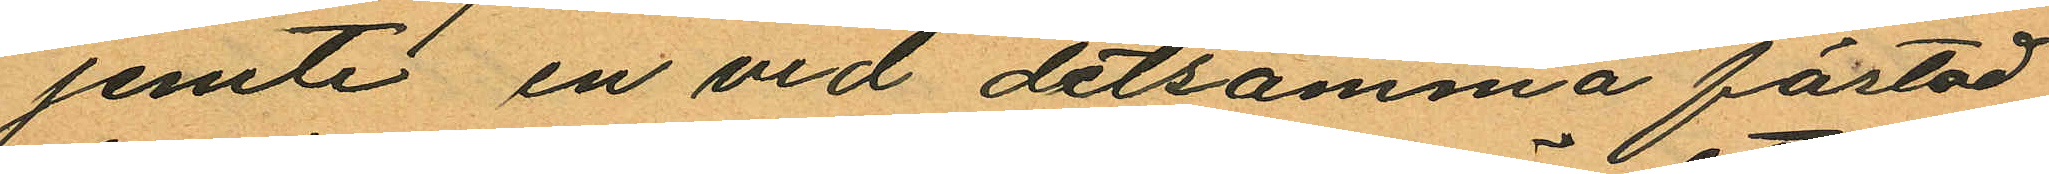jemte en vid detsamma fästad
